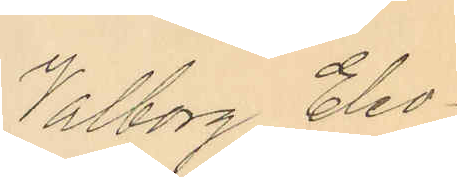Valborg Eleo¬
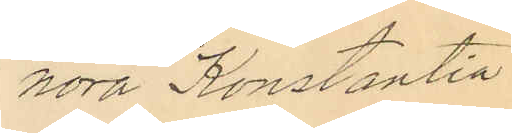nora Konstantia
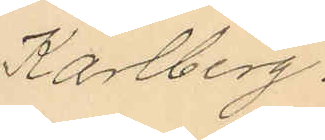Karlberg.
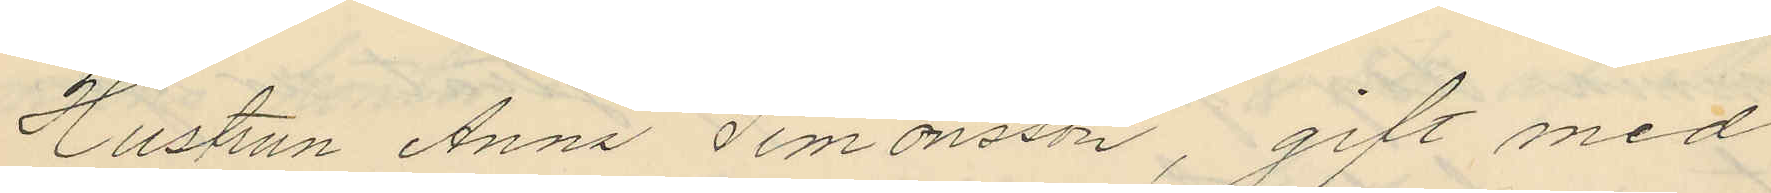Hustrun Anna Simonsson, gift med
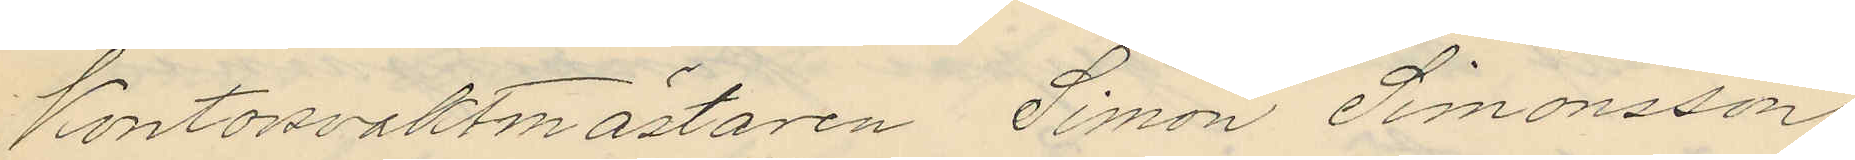Kontorsvaktmästaren Simon Simonsson
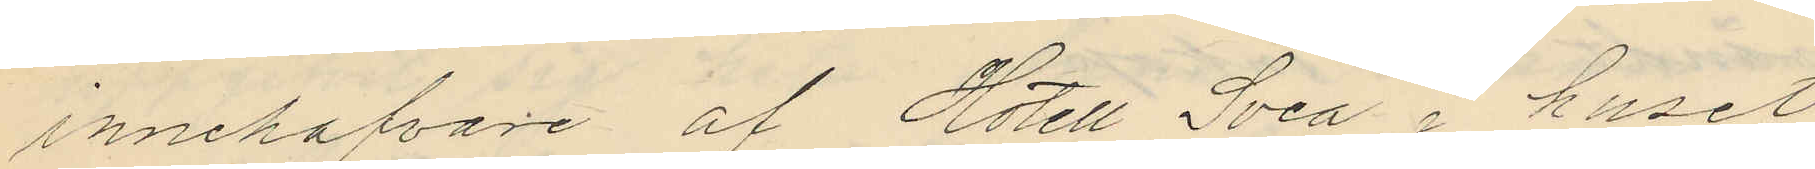innehafvare af Hotell Svea i huset
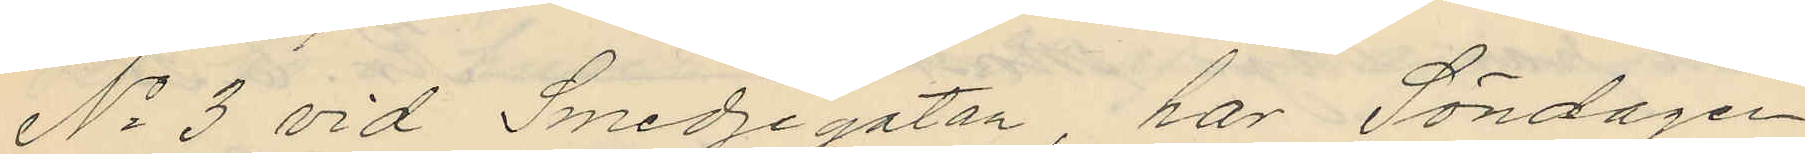No 3 vid Smedjegatan, har Söndagen
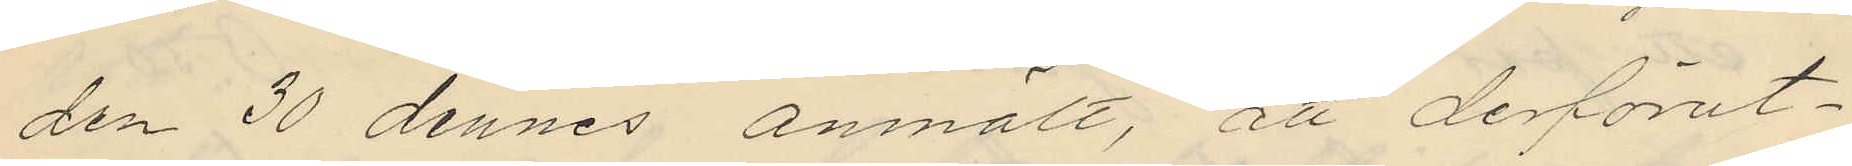den 30 dennes anmält, att derförut¬
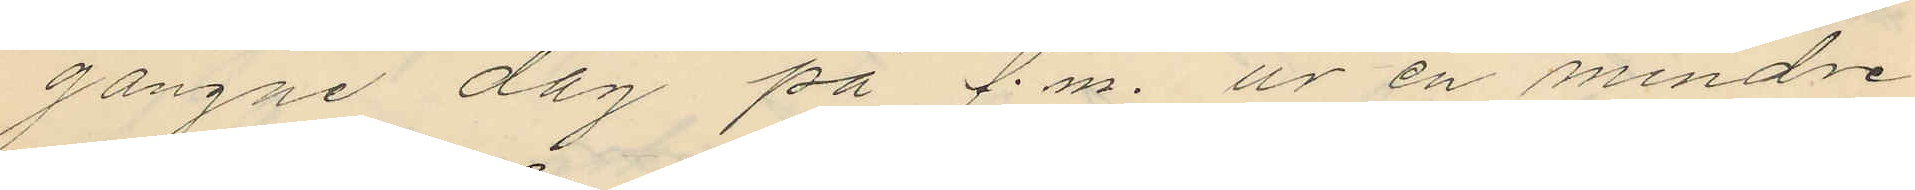gångne dag på f.m. ur en mindre
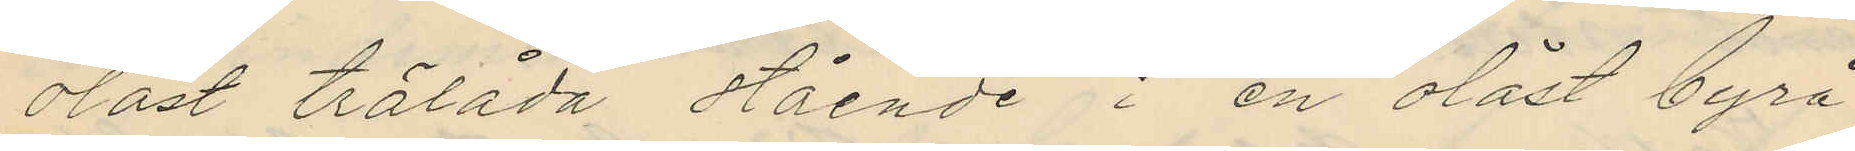olåst trälåda stående i en olåst byrå
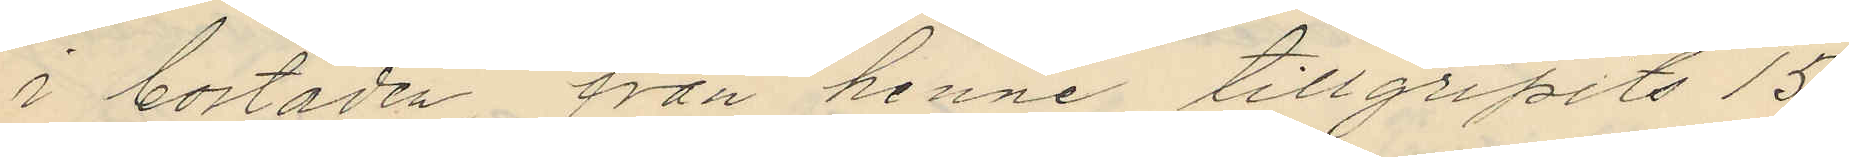i bostaden från henne tillgripits 15
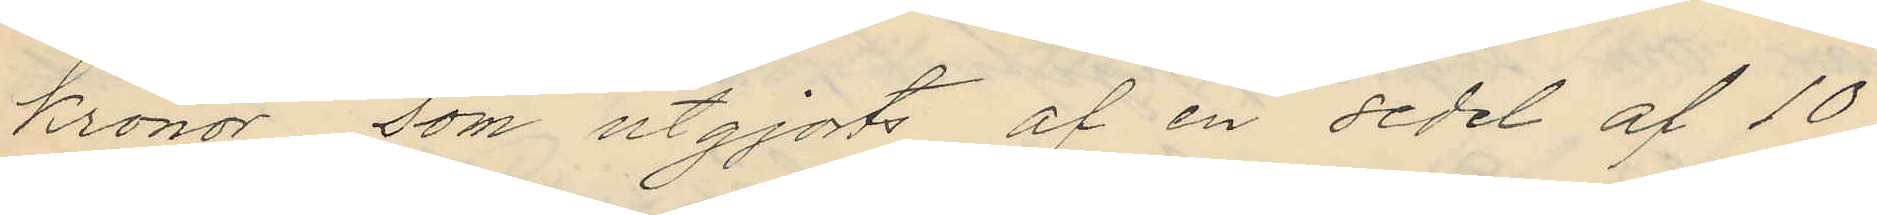kronor, som utgjorts af en sedel af 10
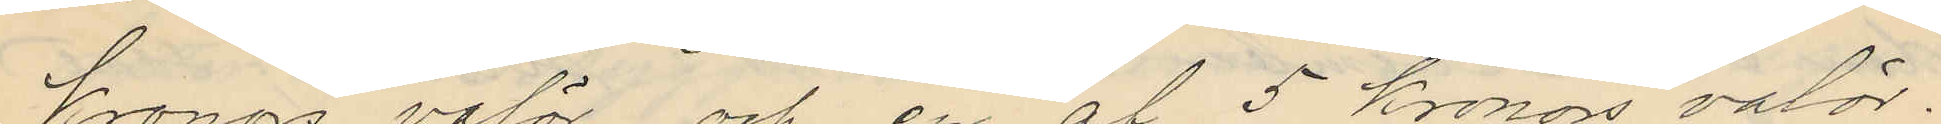kronors valör och en af 5 kronors valör,
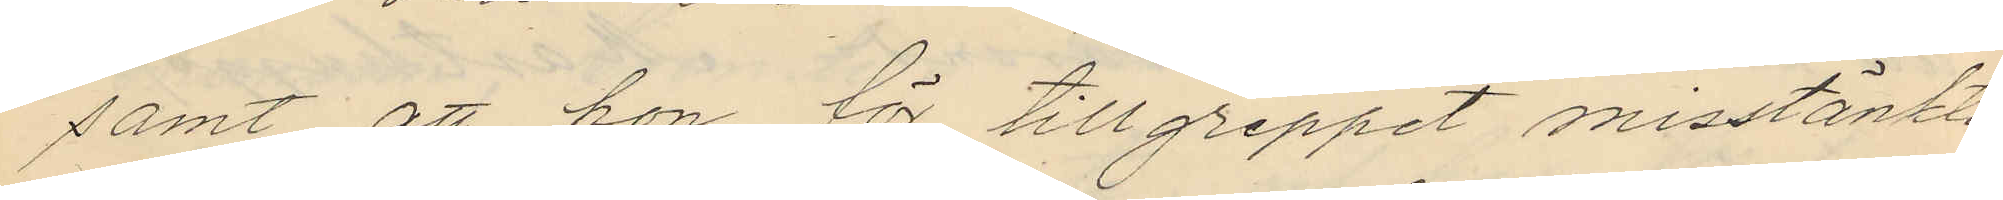samt att hon för tillgreppet misstänkt
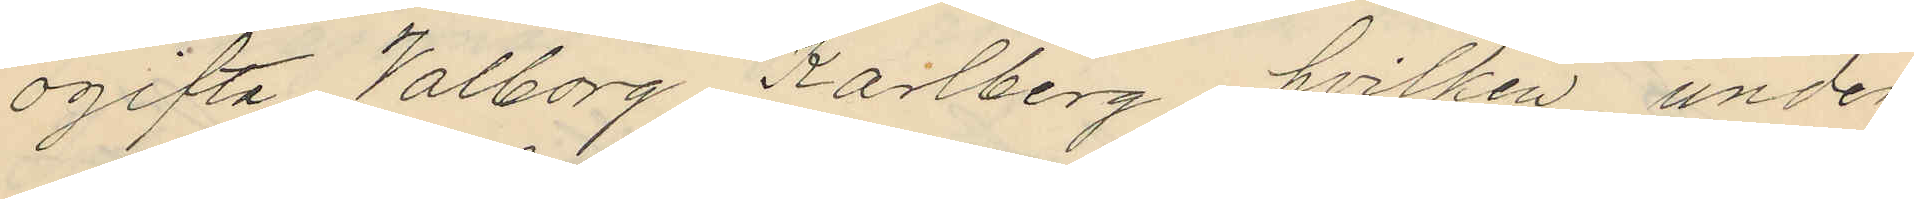ogifta Valborg Karlberg hvilken under
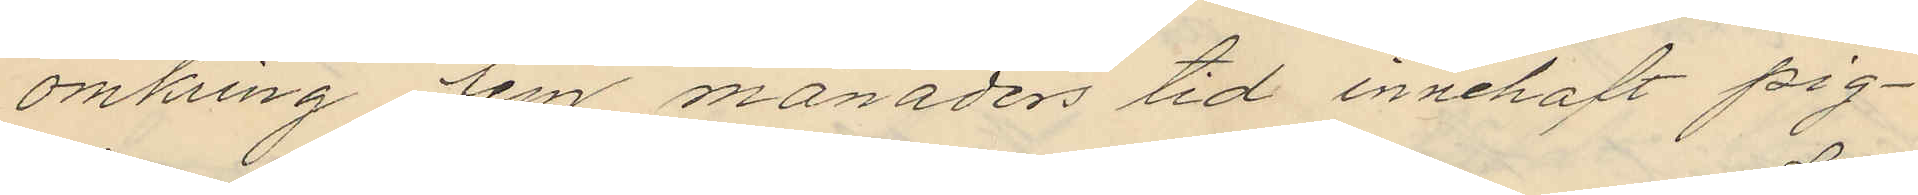omkring fem månaders tid innehaft pig¬
